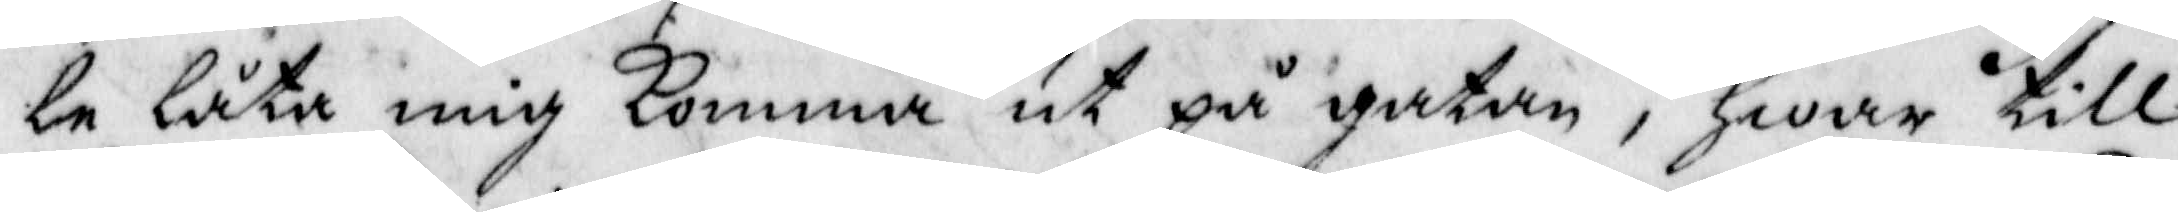le låta mig komma ut på gatan, Hwar till
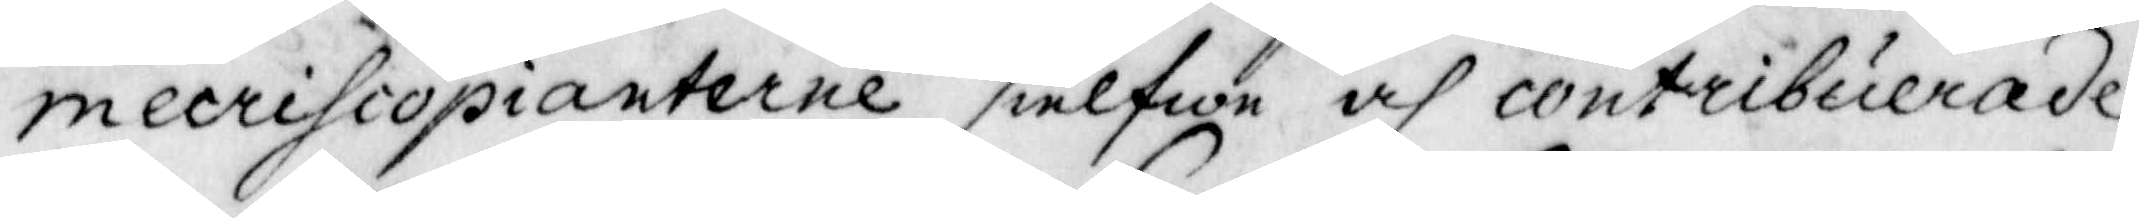mecrihcopianterne sielfwa och contribuerade
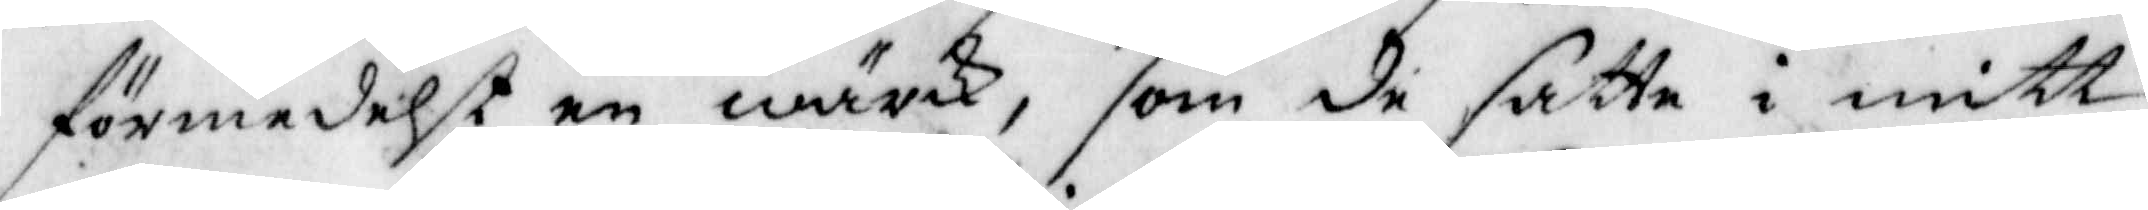förmedelst en wärk, som de satte i mitt
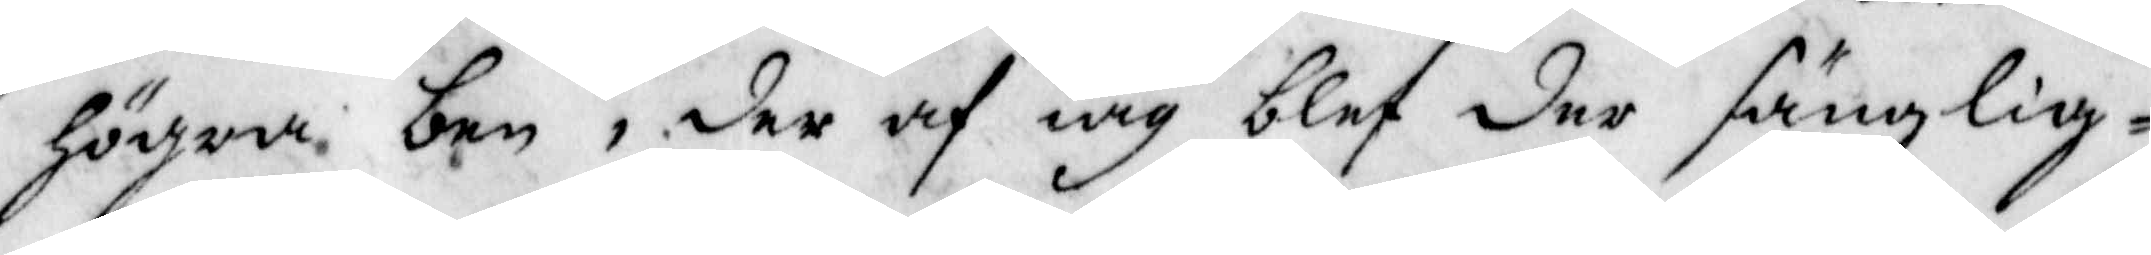högra ben, der af iag blef der sänglig¬
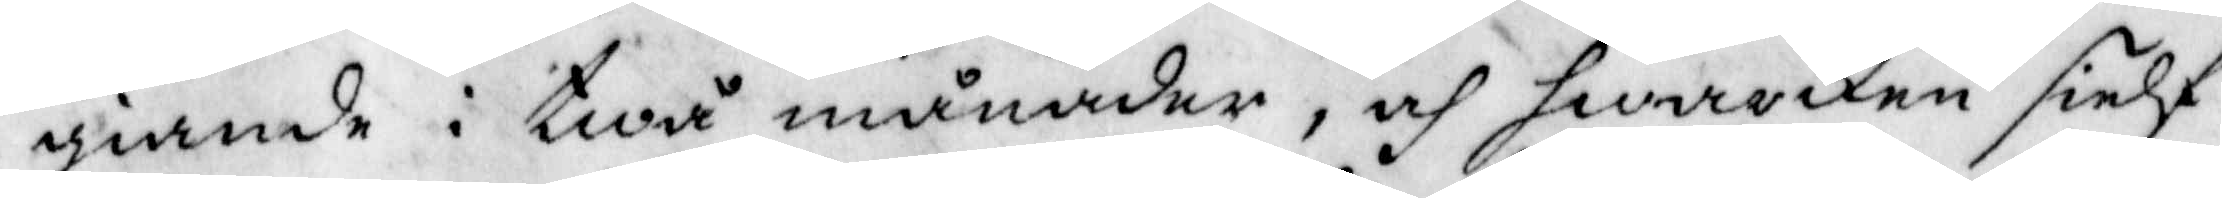giande i twå månader, och hwarken sielf
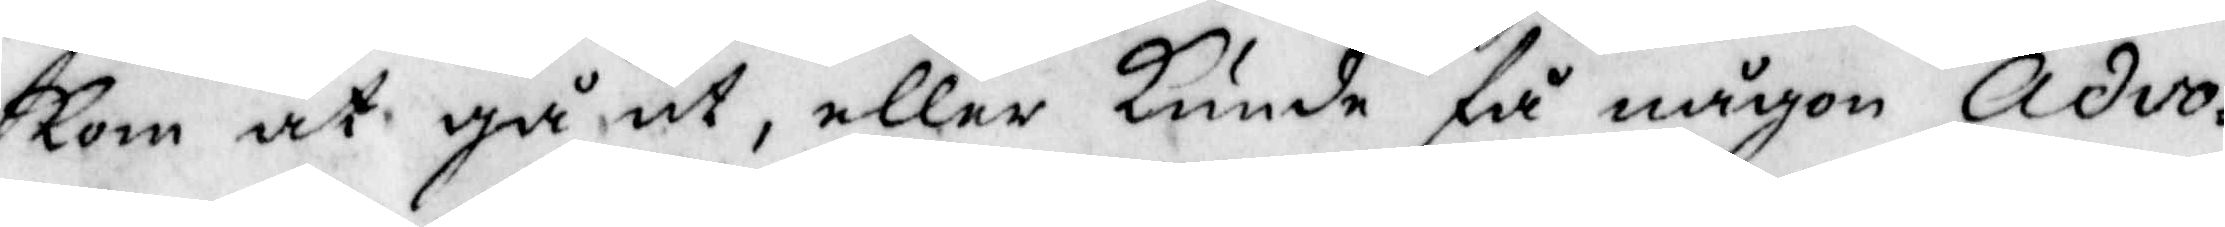kom at gå ut, eller Kunde få någon Advo¬
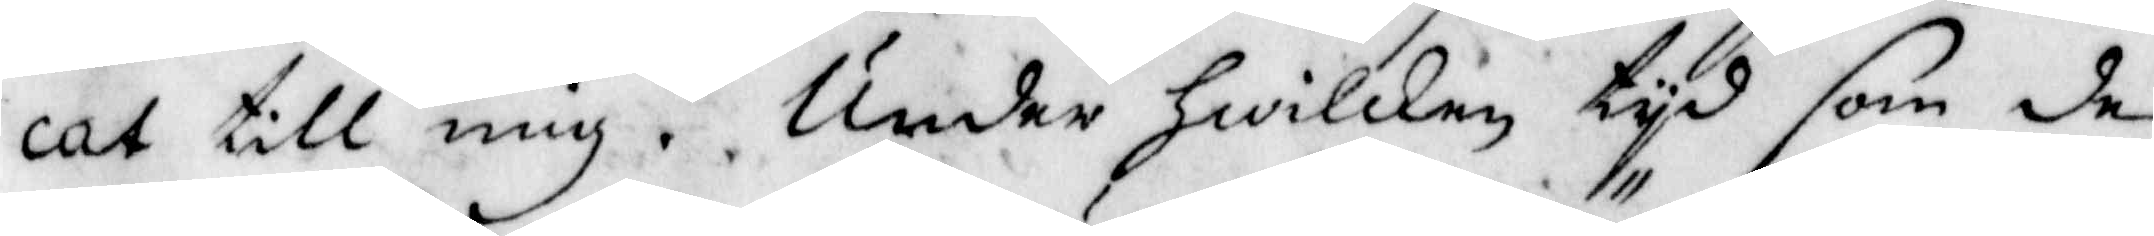cat till mig. Under Hwilken tyd som de
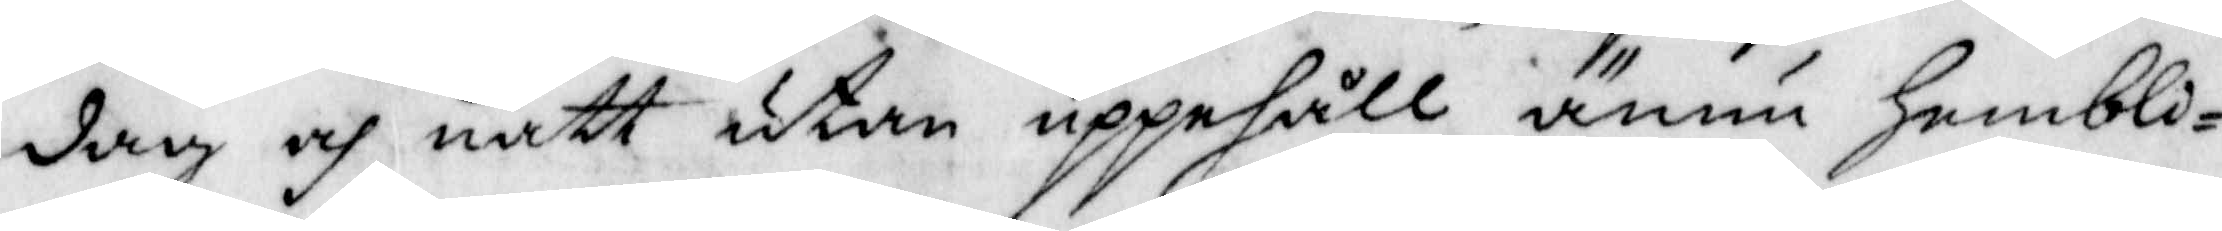dag och natt utan uppehåll ännu Hembli¬
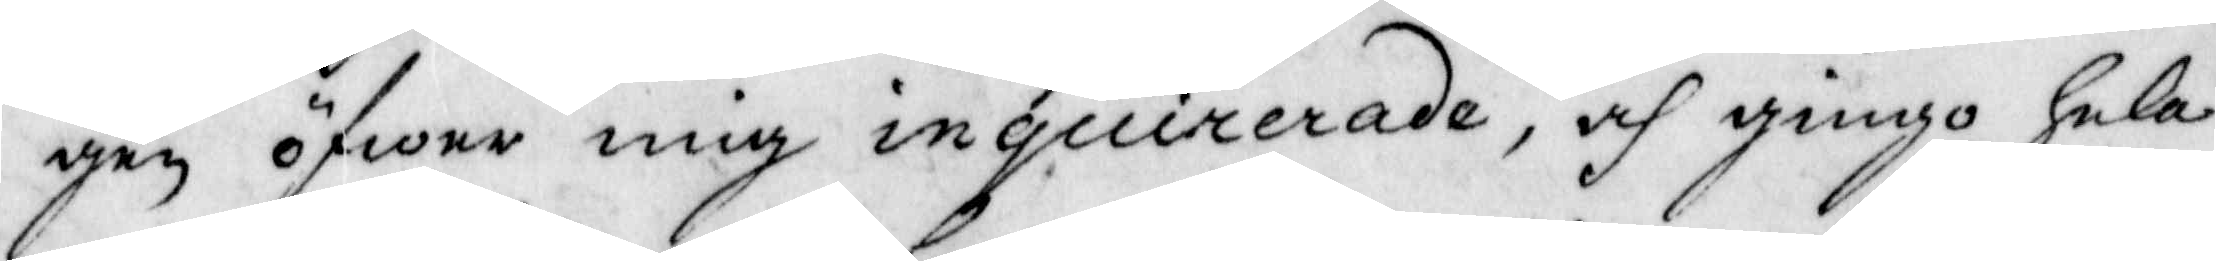gen öfwer mig inquirerade, och gingo hela
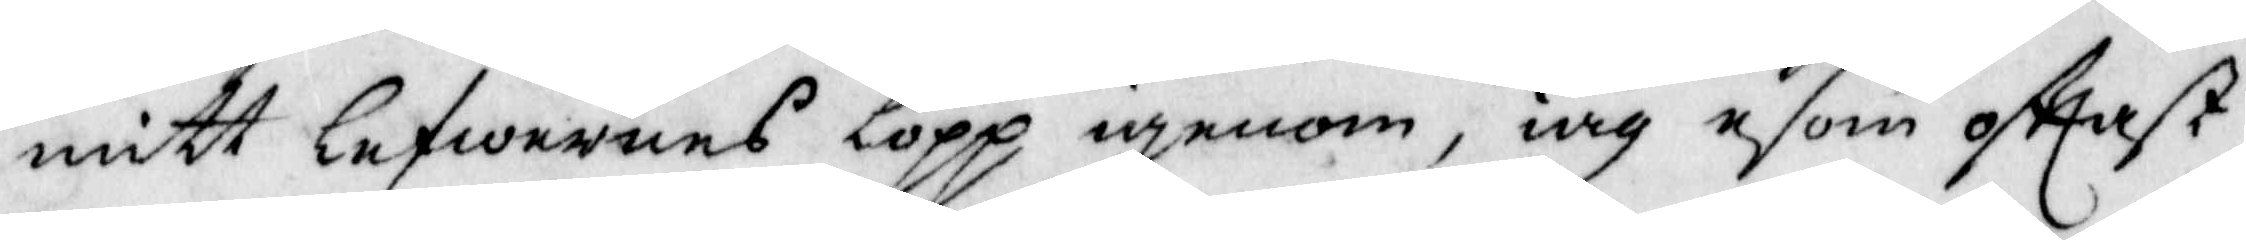mitt lefwernes lopp igenom, iag esom ofttast
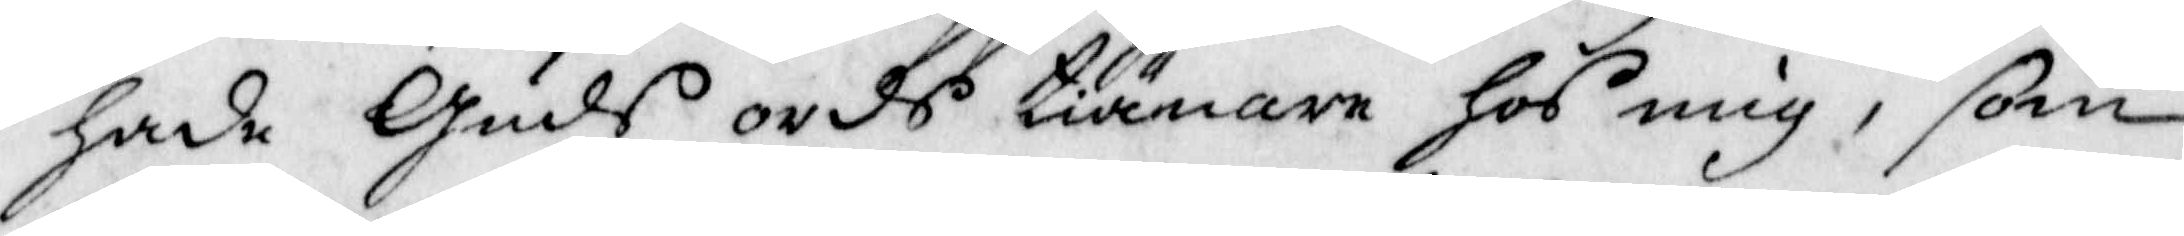hade Guds ords tiönare hod mig, som
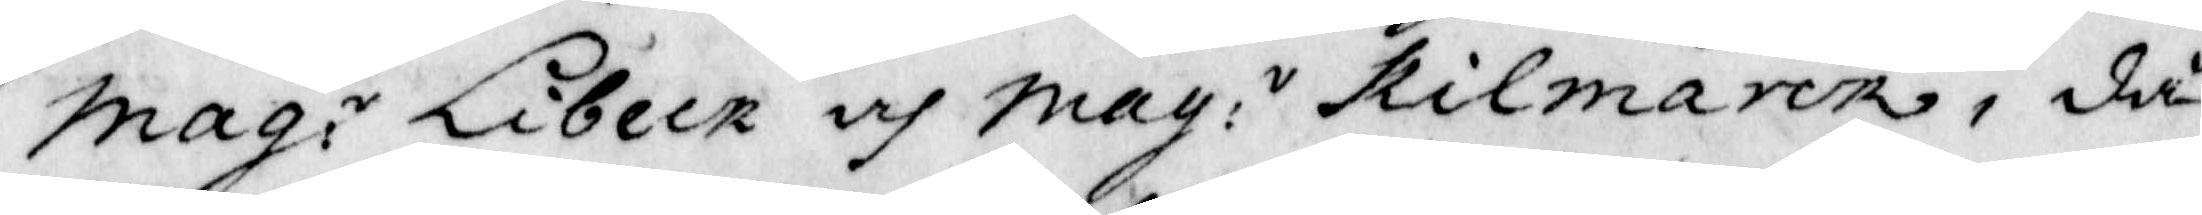Mag:r ibeck och Mag:r Rilmarck, då
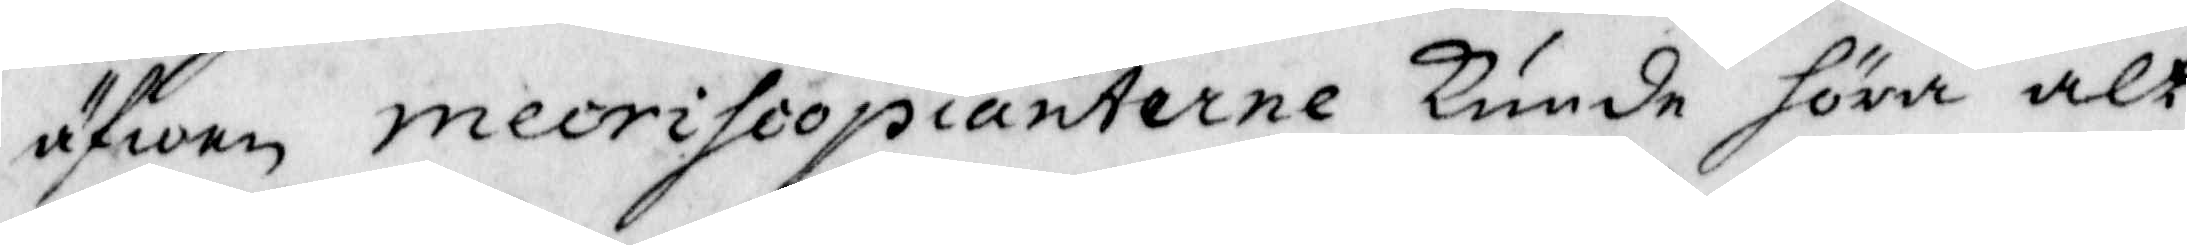äfwen mecrihoopianterne kunde föra alt
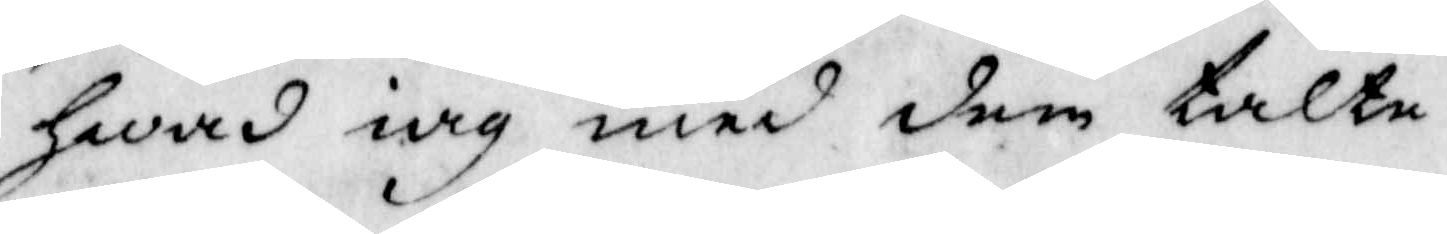hwad iag med dem talte.
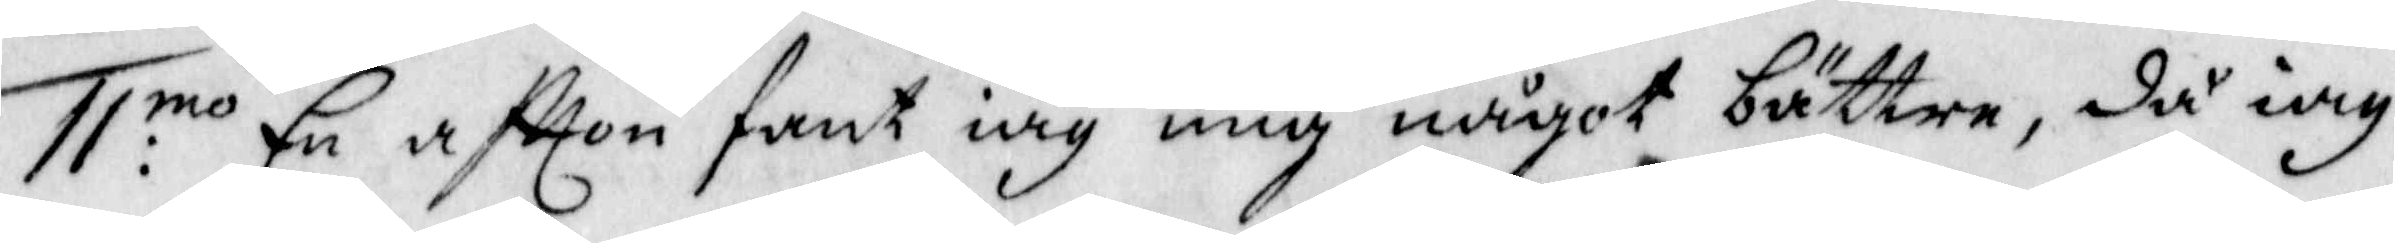11:mo En aftton fant iag mig något bättre, då iag
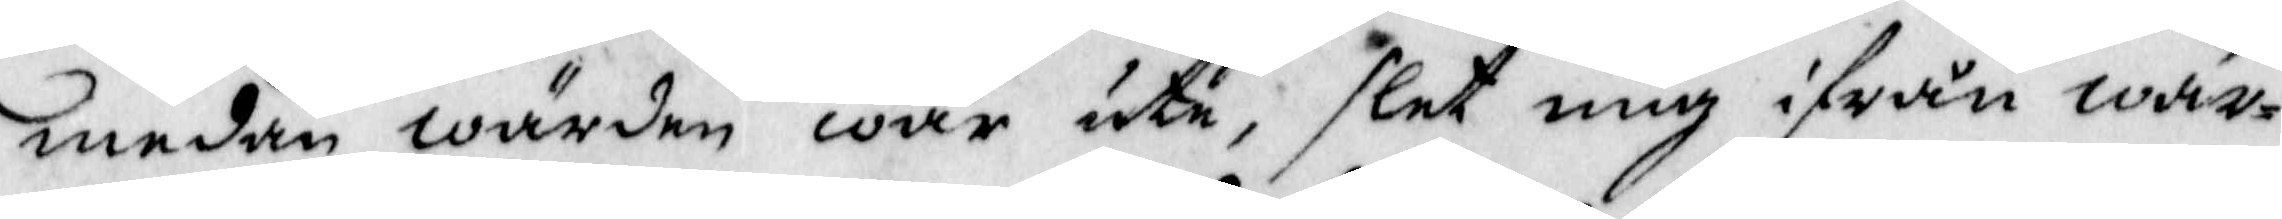medan wärden war ute, slet mig ifrån wär¬
